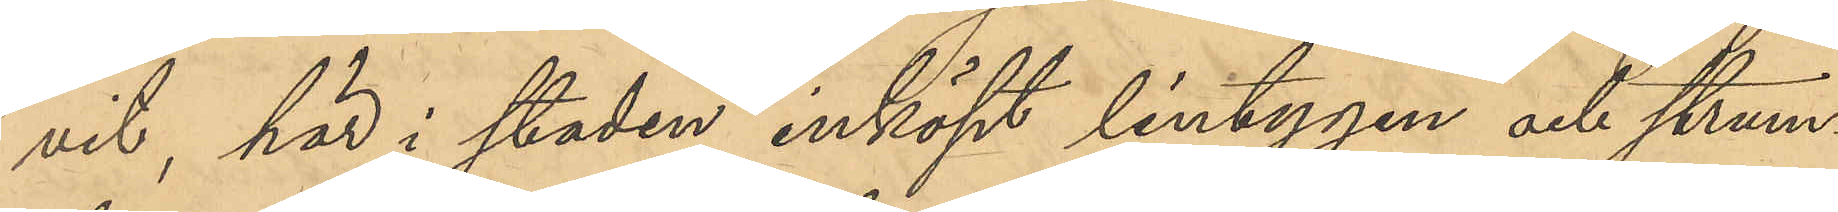vit, här i staden inköpt lintygen och strum¬
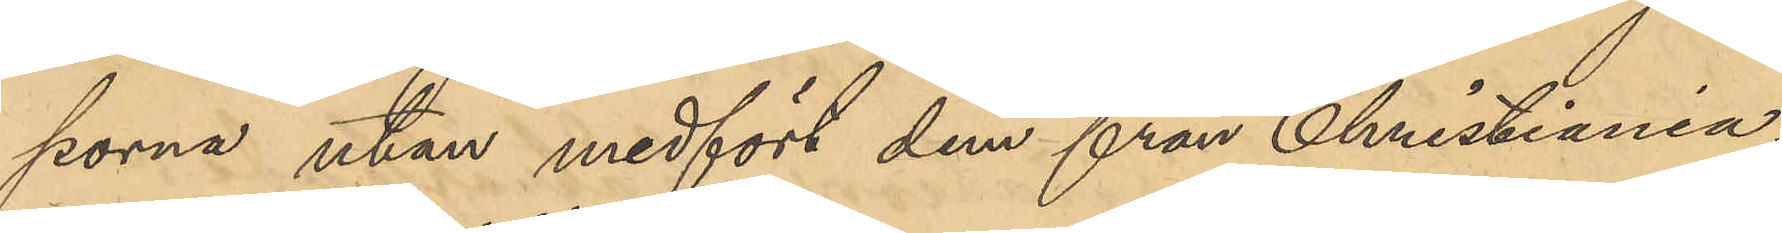porna utan medfört dem från Christiania,
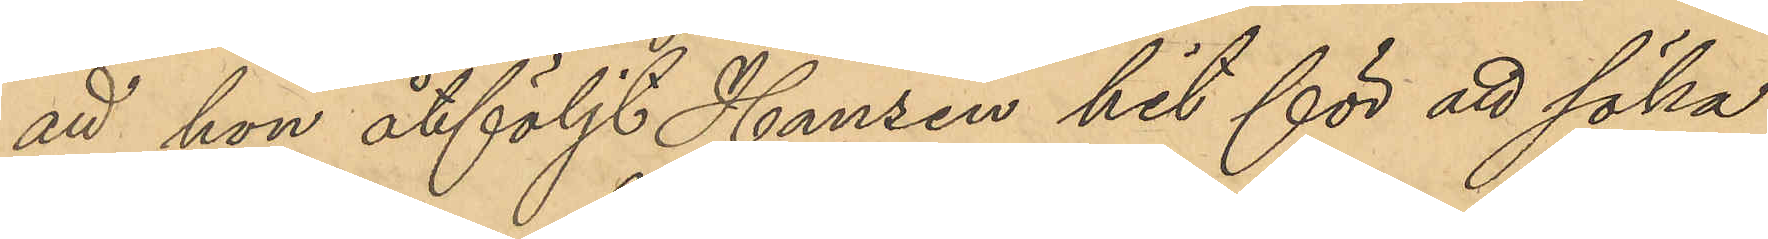att hon åtföljt Hansen hit för att söka
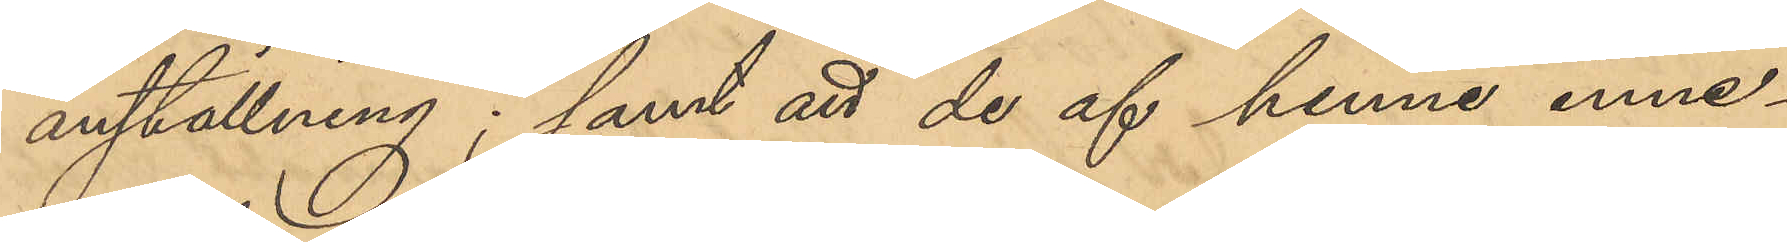anställning; samt att de af henne inne¬
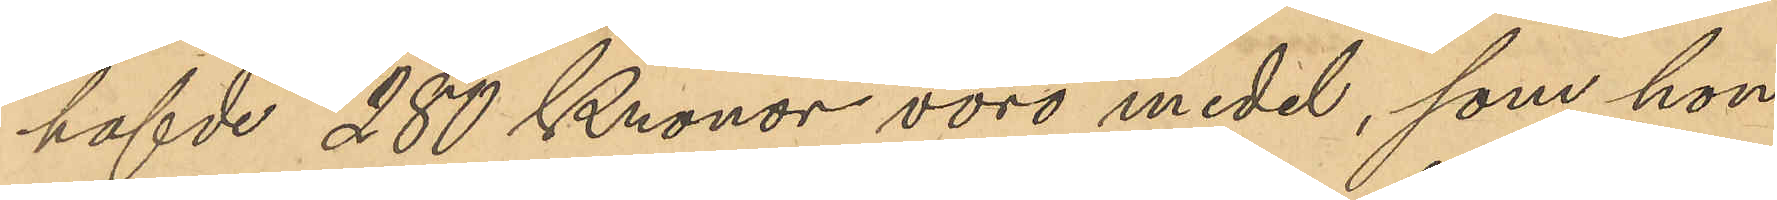hafvde 280 Kronor voro medel, som hon
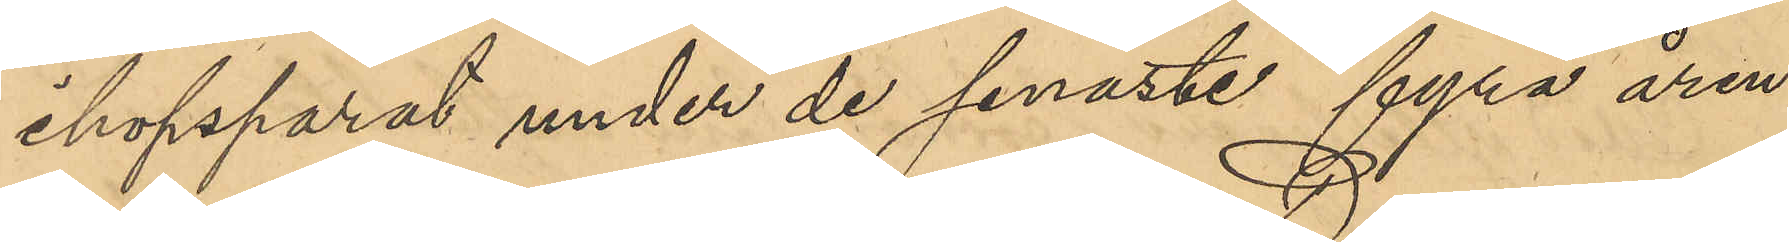ihopsparat under de senaste fyra åren
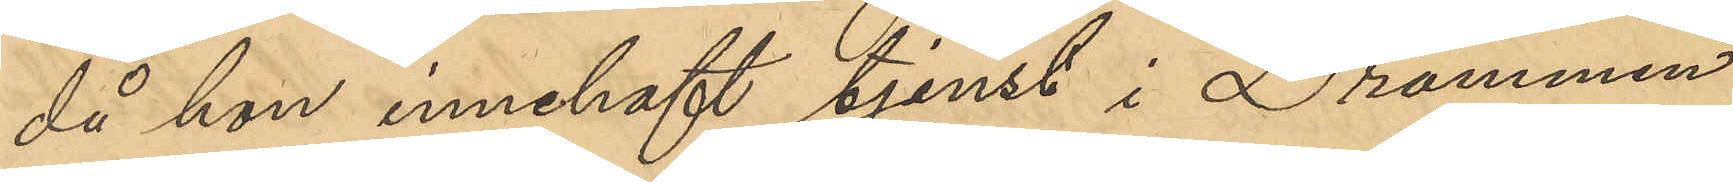då hon innehaft tjenst i Drammen
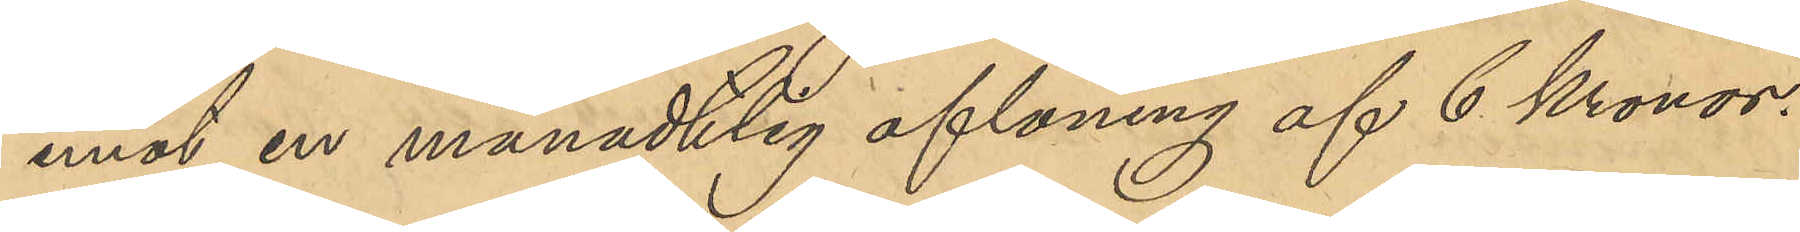mot en månatlig aflöning af 6 Kronor.
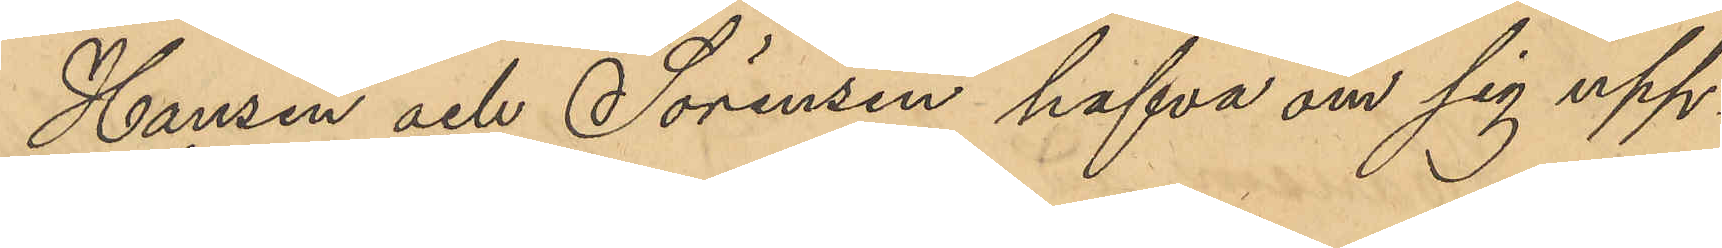Hansen och Sörensen hafva om sig upp¬
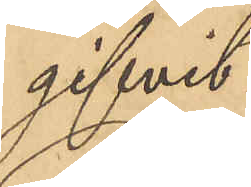gifvit:
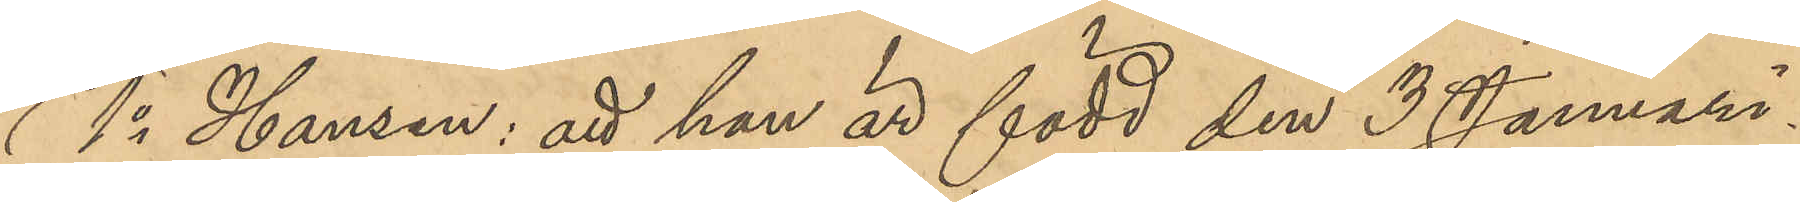1o Hansen: att han är född den 3 Januari
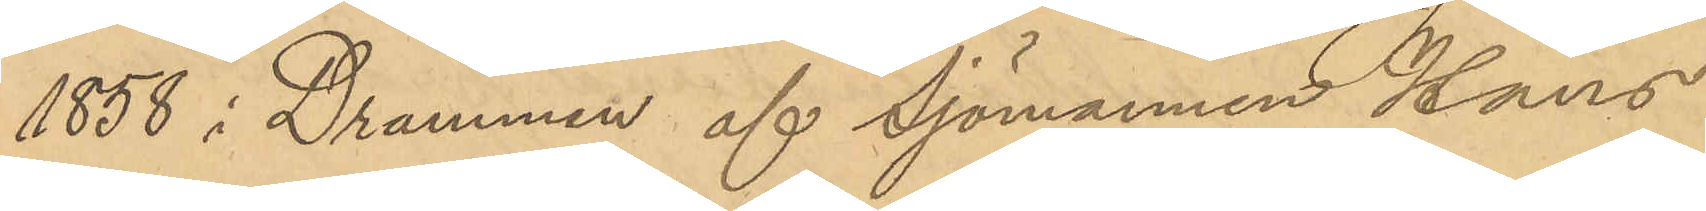1858 i Drammen af Sjömannen Hans
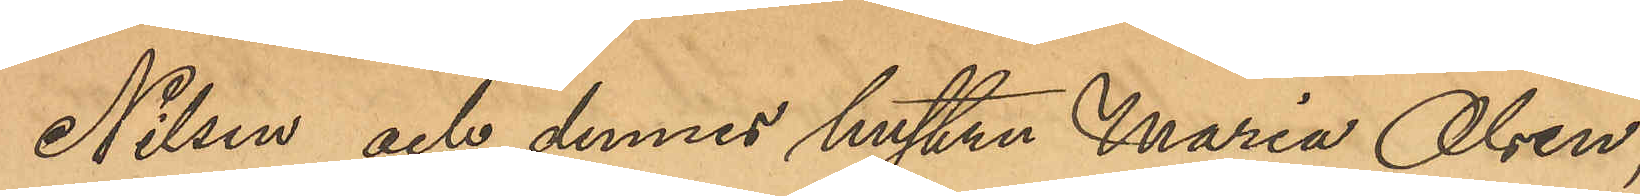Nilsen och dennes hustru Maria Olsen,
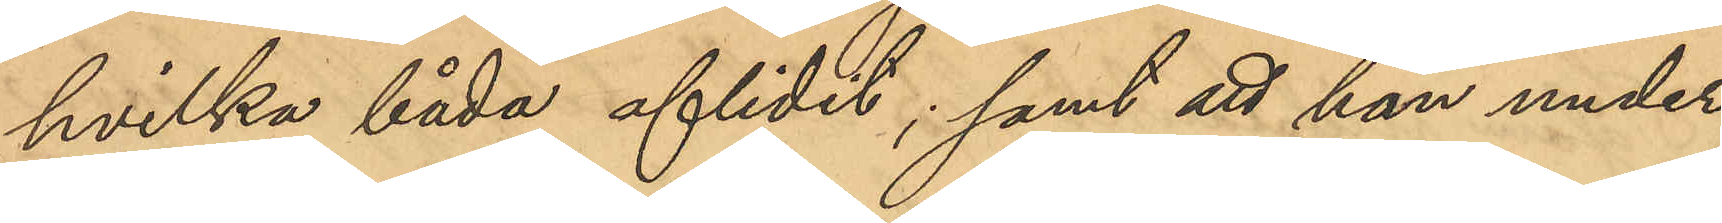hvilka båda aflidit; samt att han under
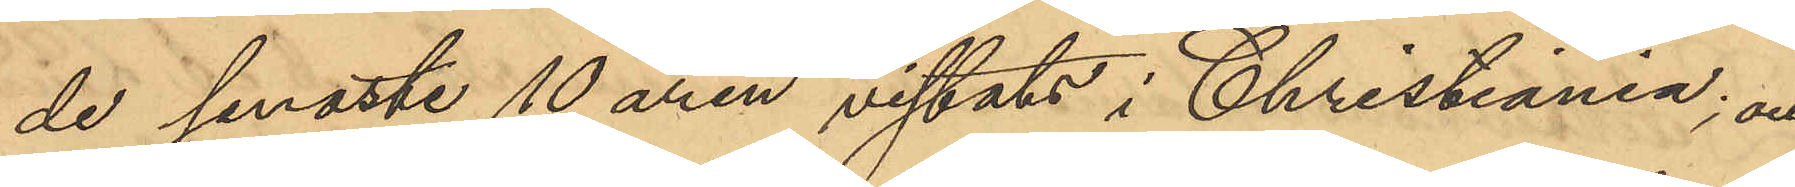de senaste 10 åren vistats i Christiania; och
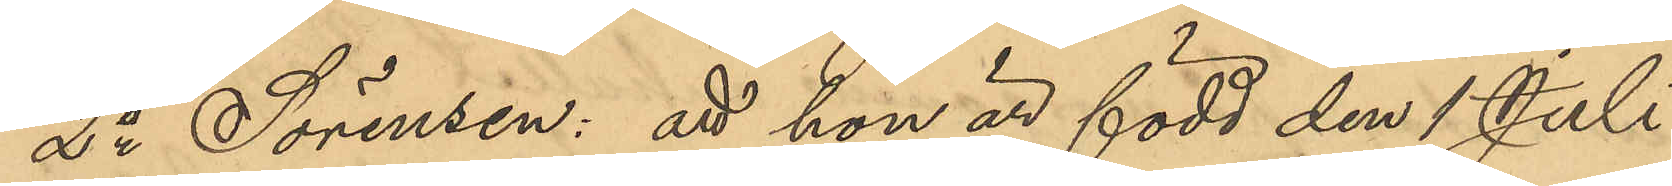2o Sörensen: att hon är född den 1 Juli
